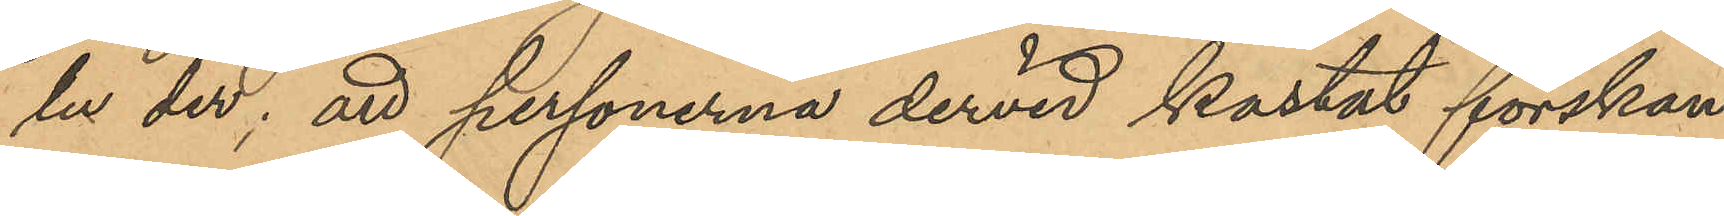lu der; att personerna dervid kastat forskan¬
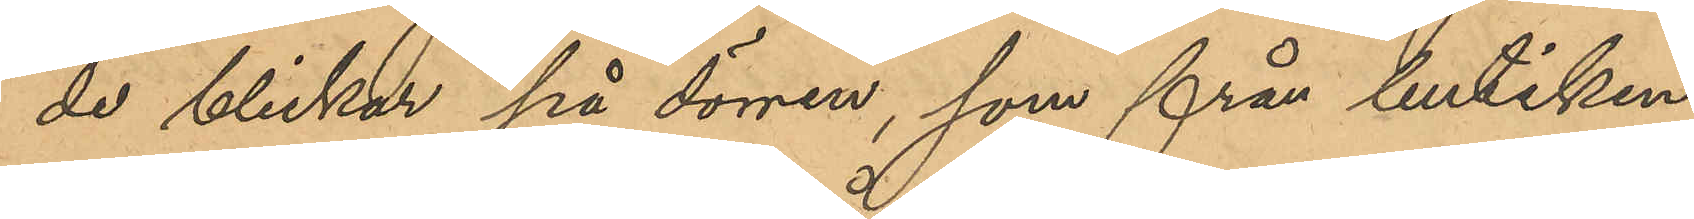de blickar på dörren, som från butiken
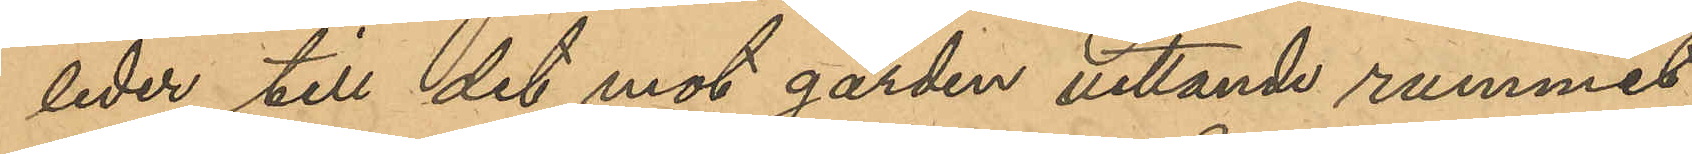leder till det mot gården vettande rummet;
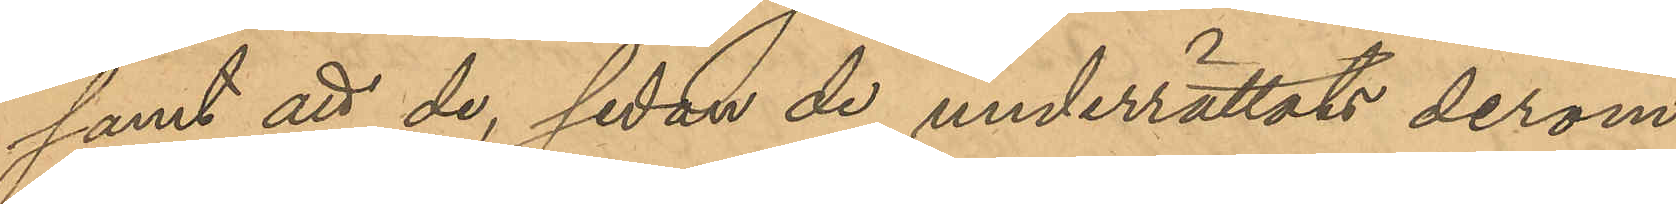samt att de, sedan de underrättats derom
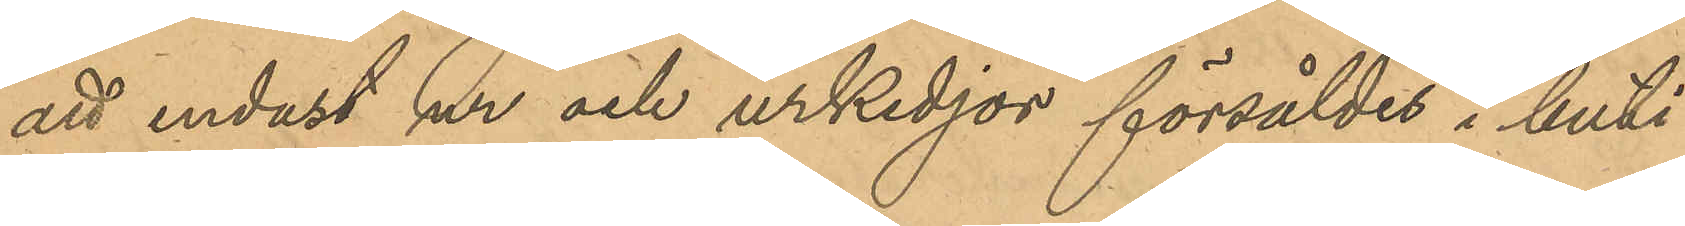att endast ur och urkedjor försåldes i buti¬
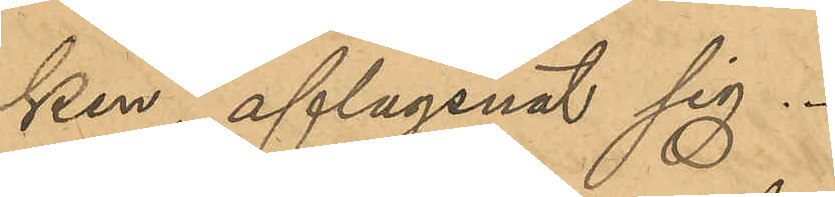ken, aflägsnat sig.
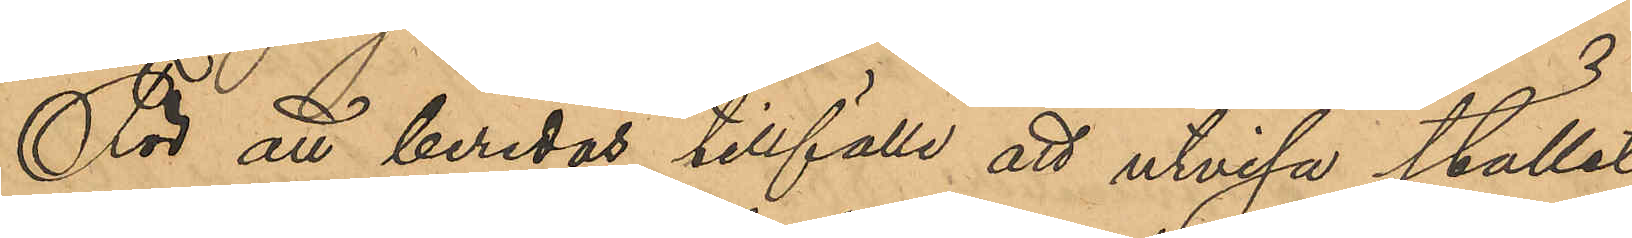För att beredas tillfälle att utvisa stället
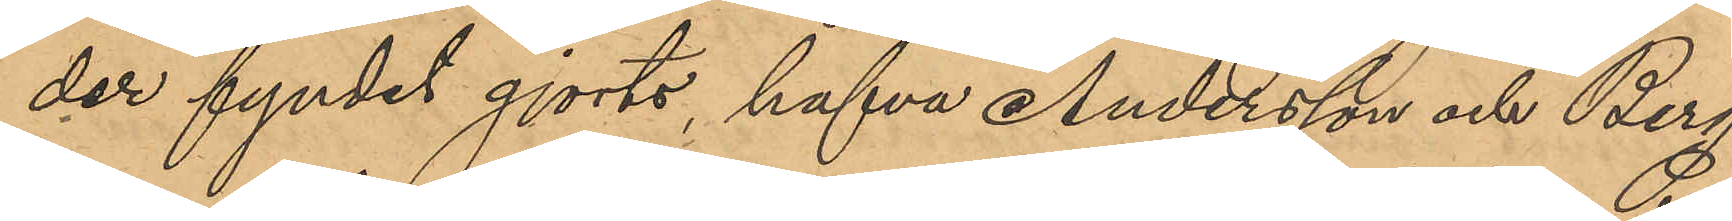der fyndet gjorts hafva Andersson och Berg¬
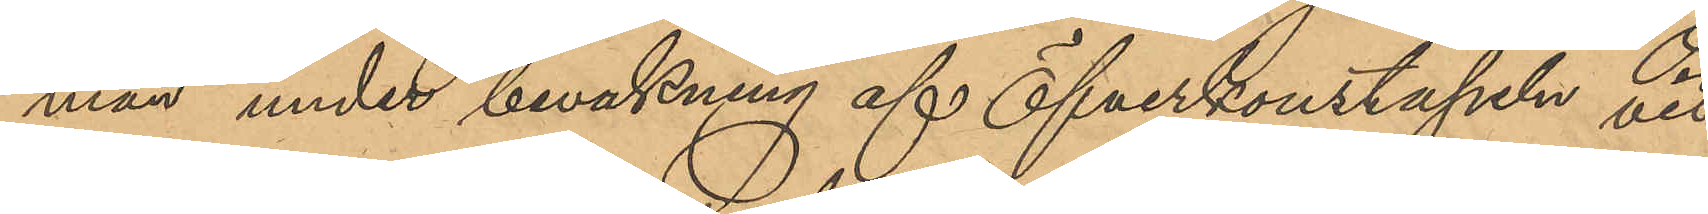man under bevakning af Öfverkonstapeln vid
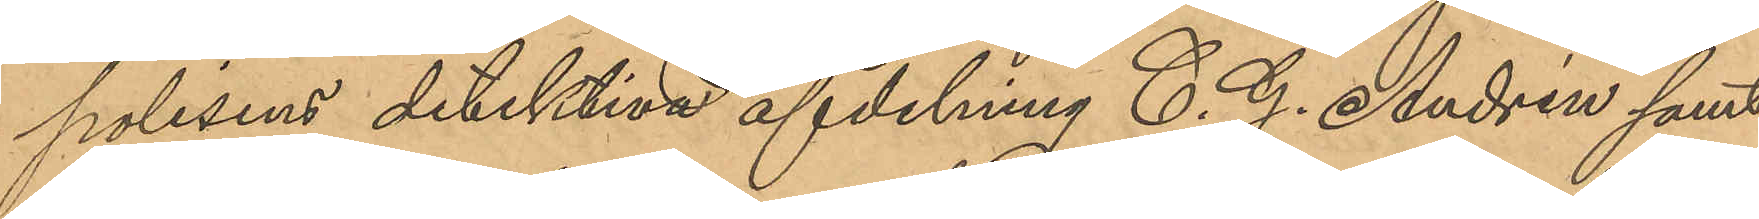polisens detektiva afdelning C. G. Andrén samt
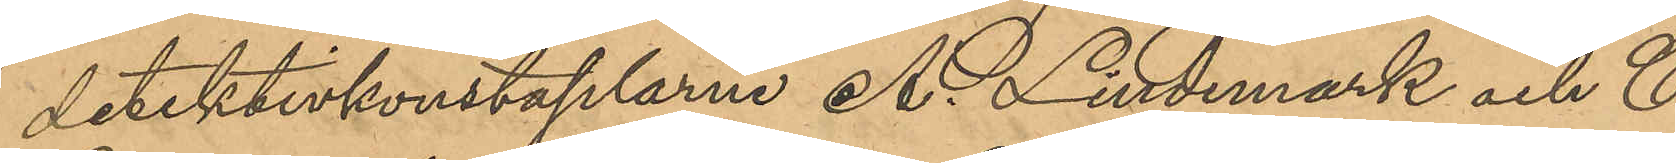detektivkonstaplarne A. Lindmark och C.
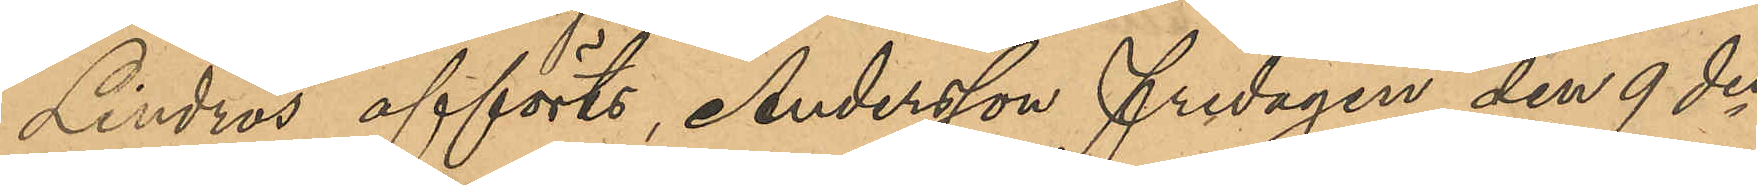Lindros afförts, Andersson fredagen den 9 des
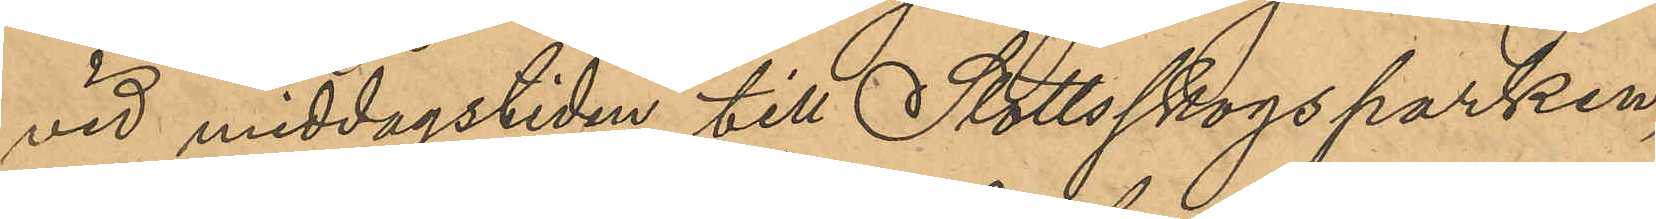vid middagstiden till Slottsskogsparken,
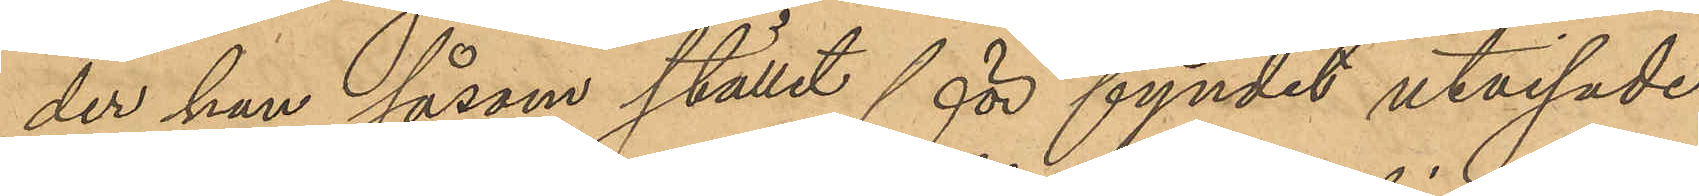der han såsom stället för fyndet utvisade
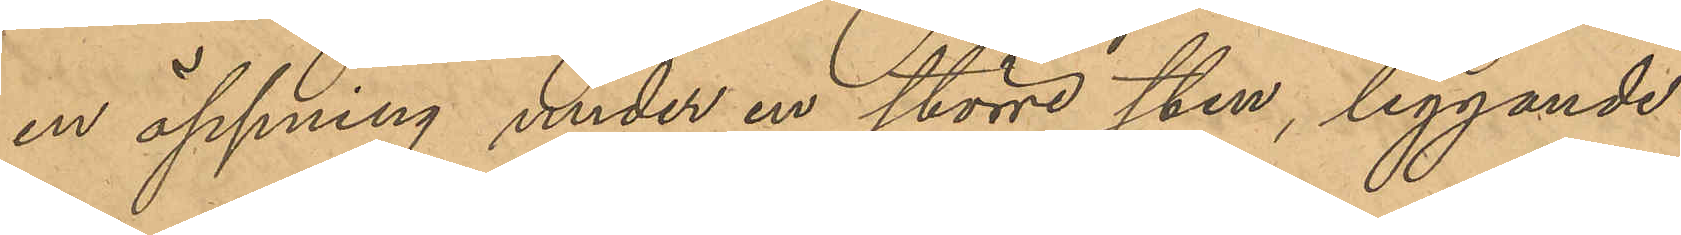en öppning under en större sten, liggande i
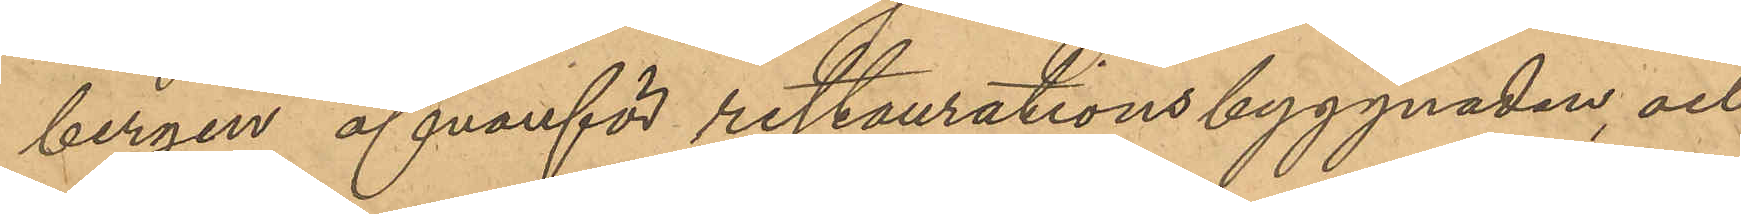bergen ofvanför restaurationsbyggnaden, och
